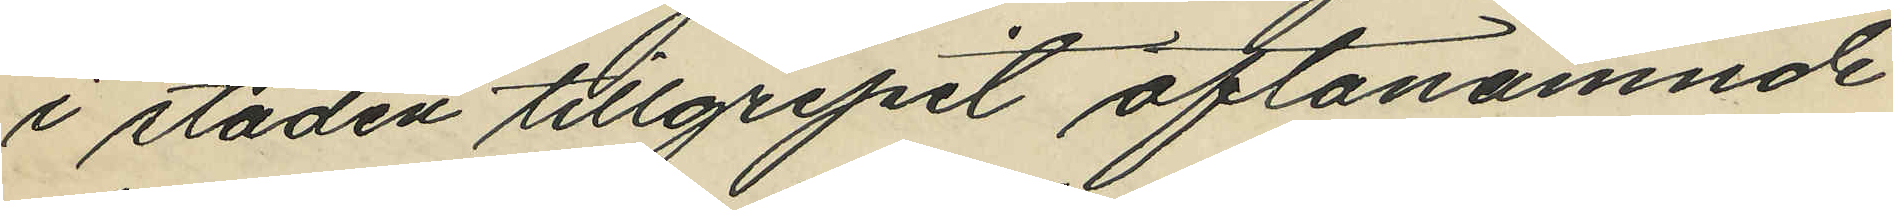i staden tillgripit oftanämnde
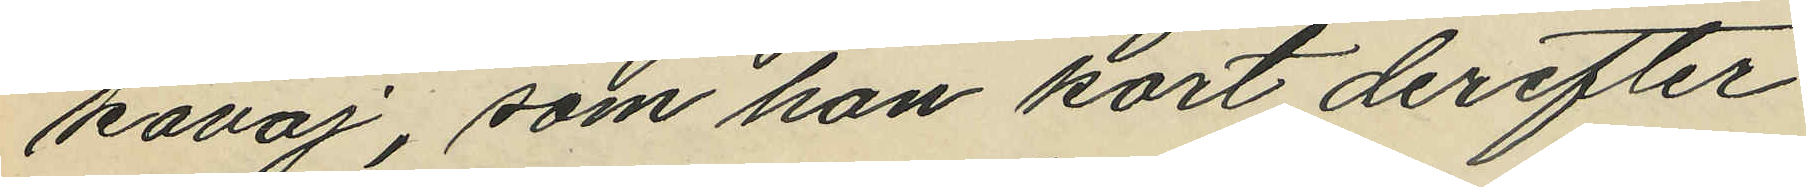kavaj; som han kort derefter
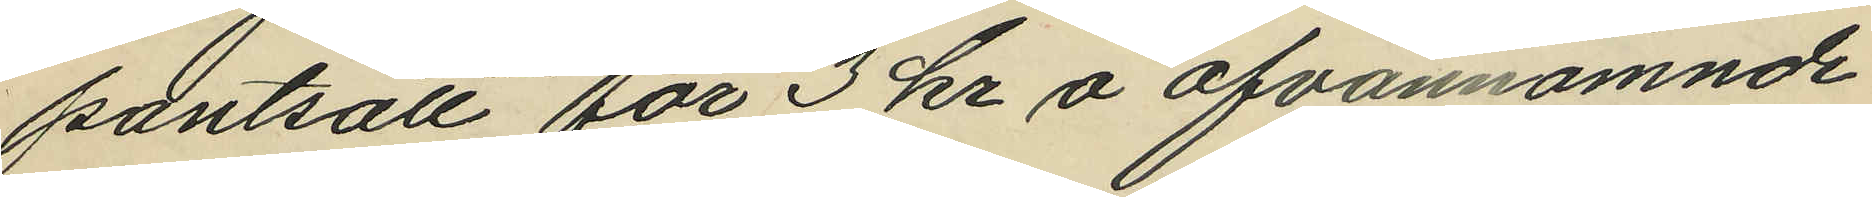pantsatt för 3 kr å ofvannämnde
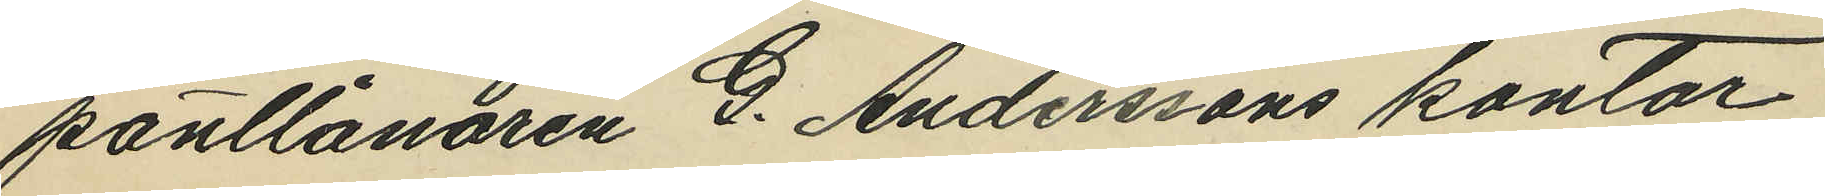pantlånaren G. Anderssons kontor,
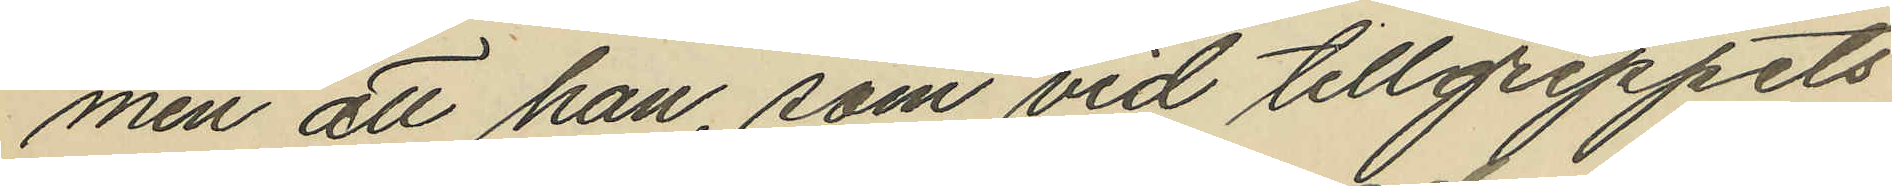men att han, som vid tillgreppets
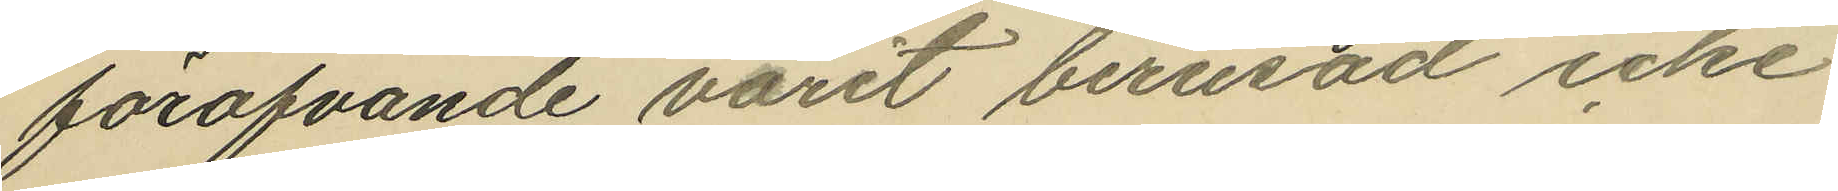föröfvande varit berusad icke
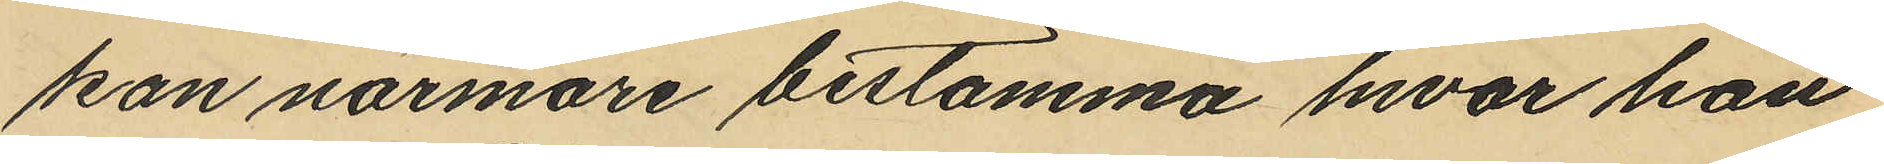kan närmare bestämma hvar han
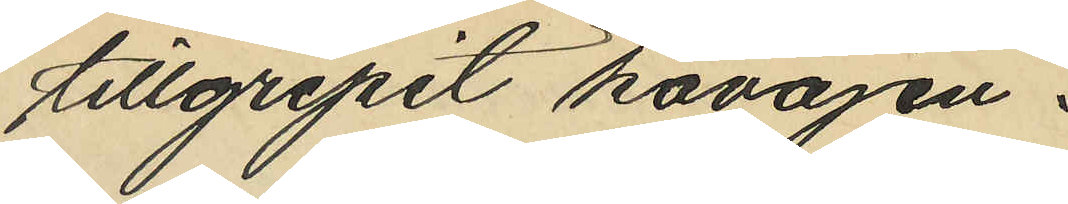tillgripit kavajen.
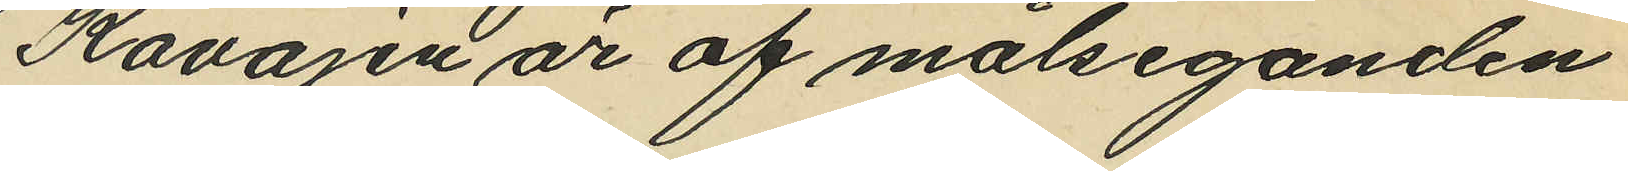Kavajen är af målseganden
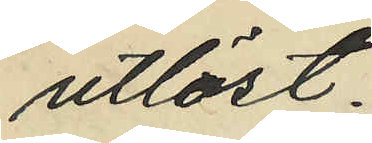utlöst.
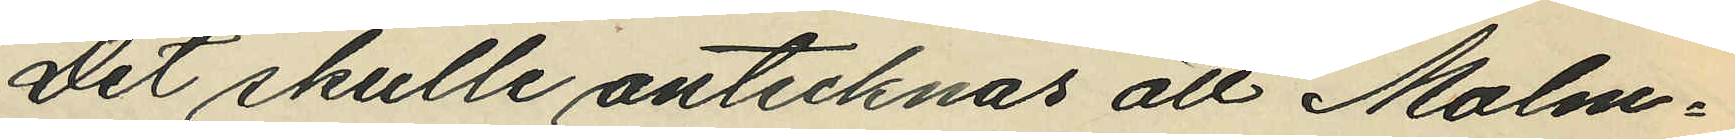Det skulle antecknas att Malm¬
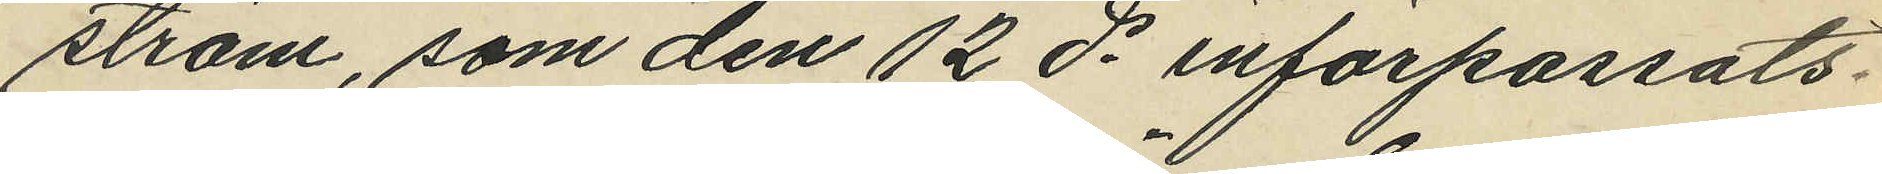ström, som den 12 ds införpassats
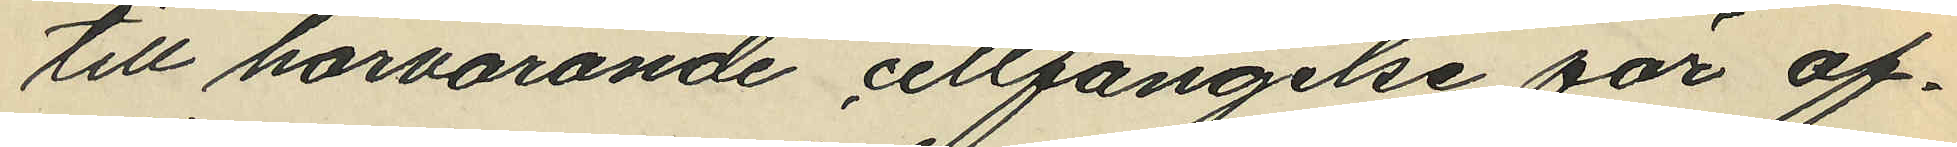till härvarande cellfängelse för af¬
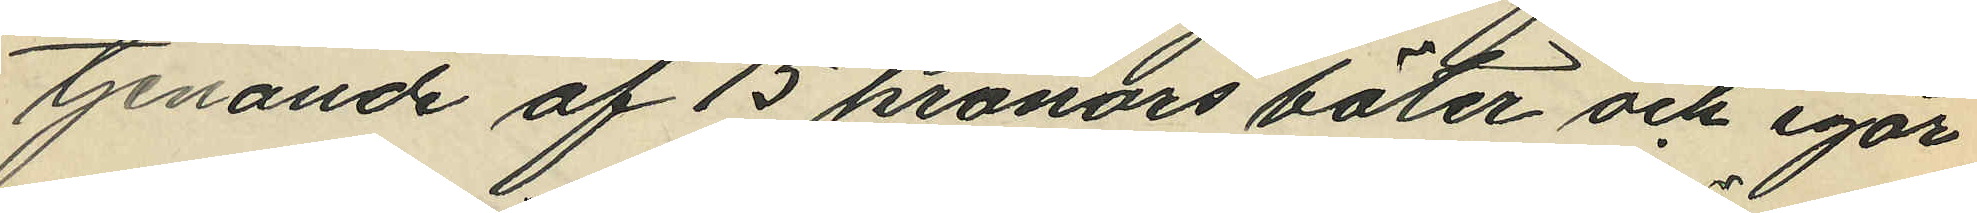tjenande af 15 kronors böter och igår
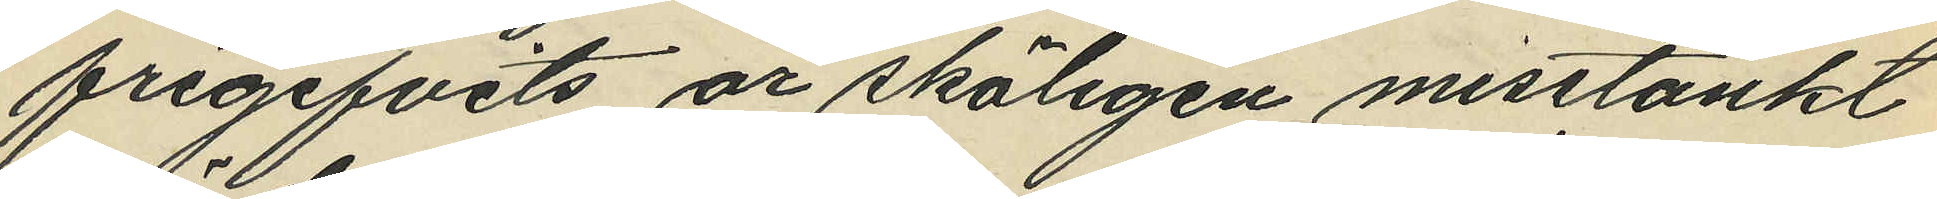frigifvits är skäligen misstänkt
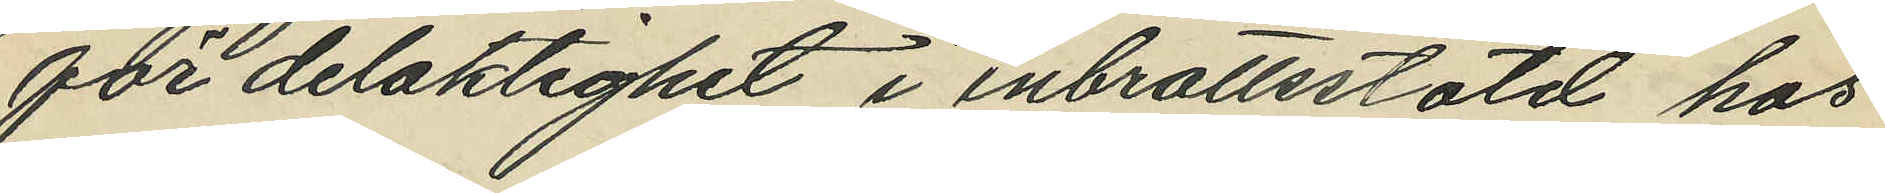för delaktighet i inbrottsstöld hos
